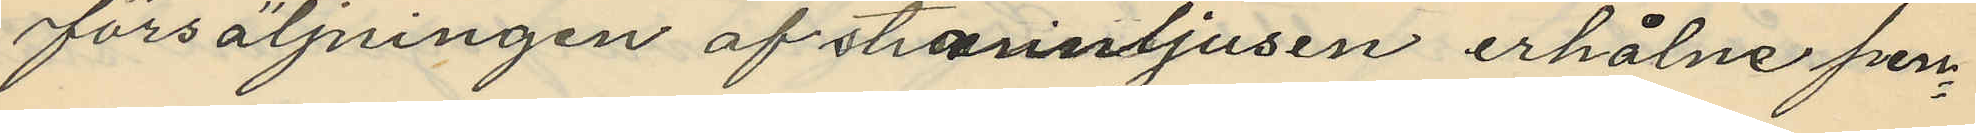försäljningen af stearinljusen erhålne pen¬
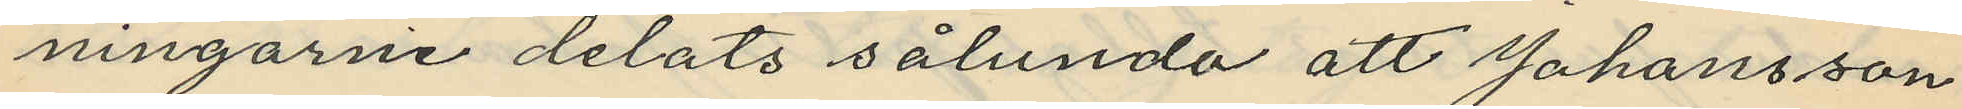ningarne delats sålunda att Johansson
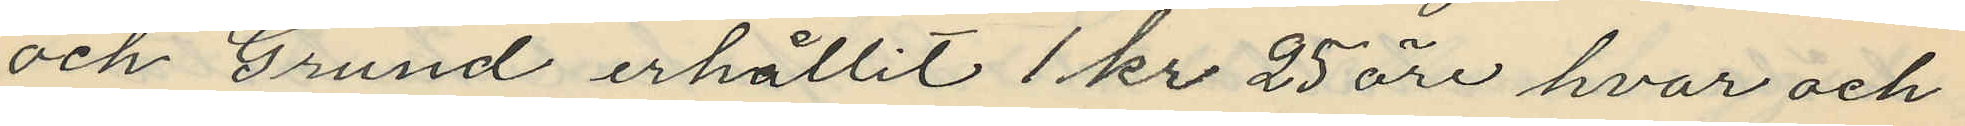och Grund erhållit 1 kr 25 öre hvar och
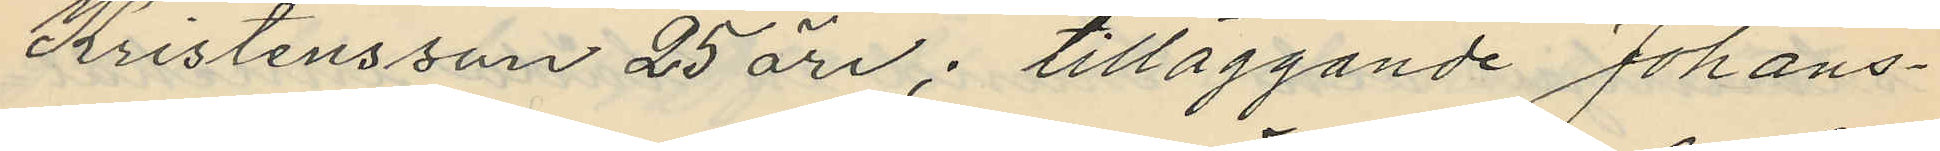Kristensson 25 öre; tilläggande Johans¬
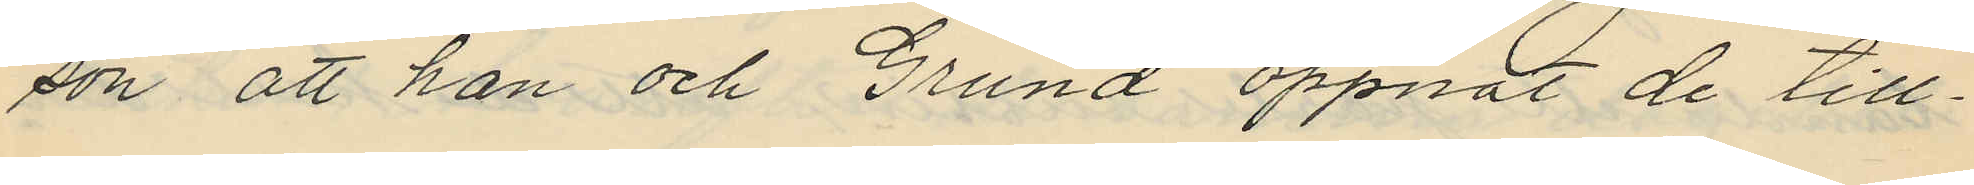son att han och Grund öppnat de till¬
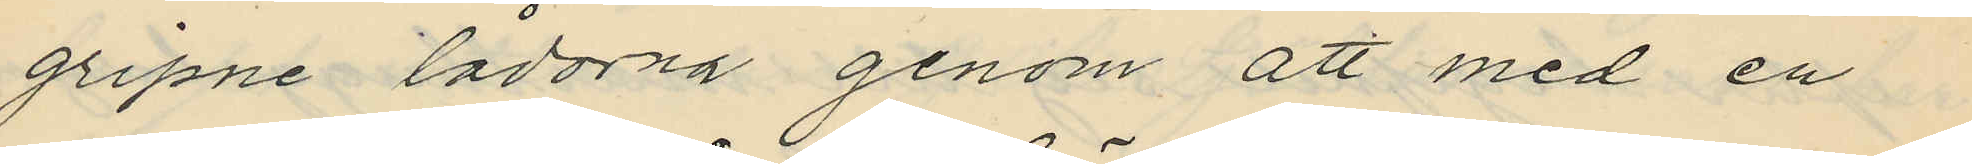gripne lådorna genom att med en
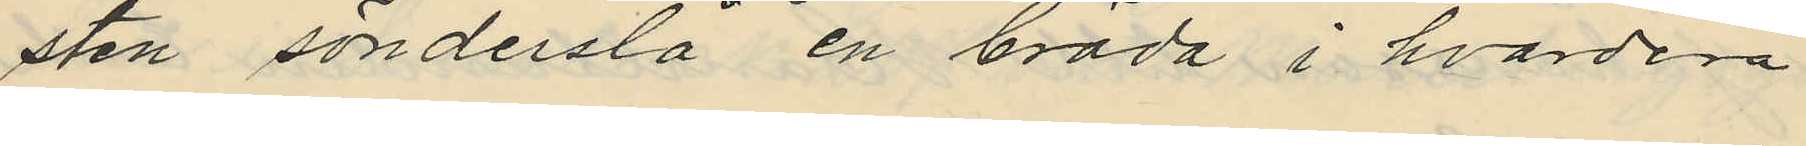sten sönderslå en bräda i hvardera
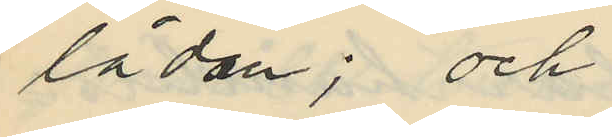lådan; och
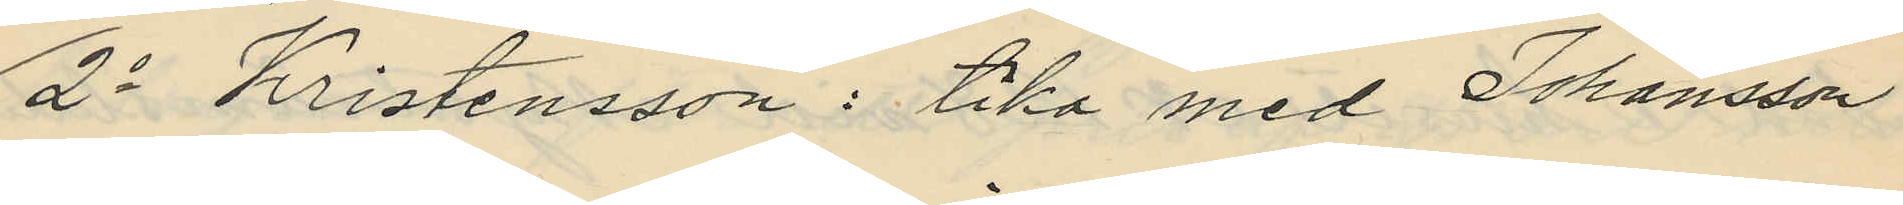2o Kristensson: lika med Johansson
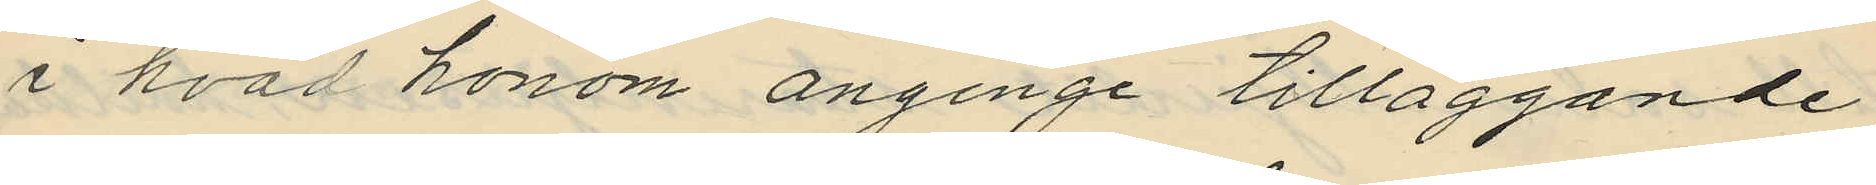i hvad honom anginge tilläggande
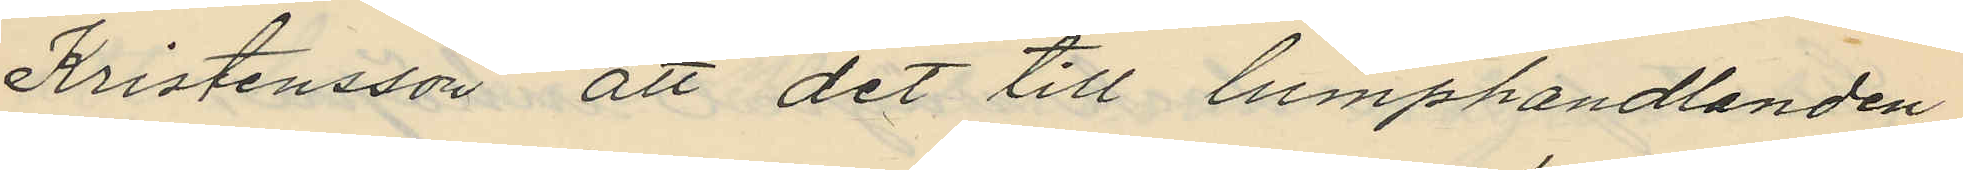Kristensson att det till lumphandlanden
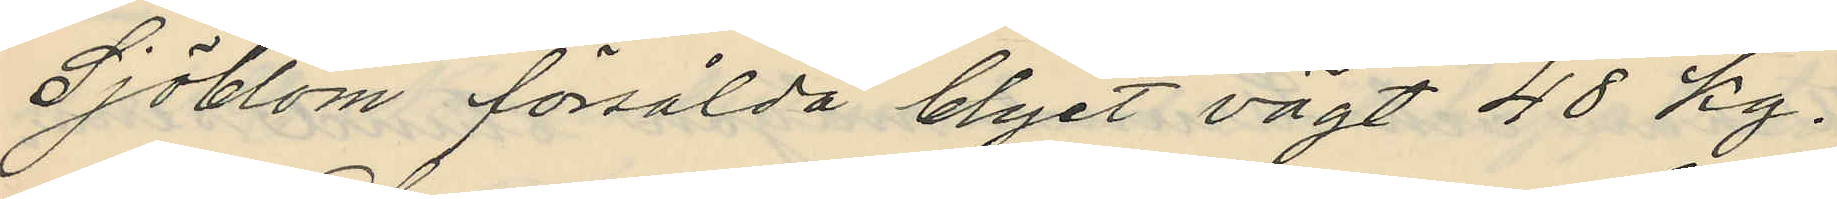Sjöblom försålda blyet vägt 48 kg.
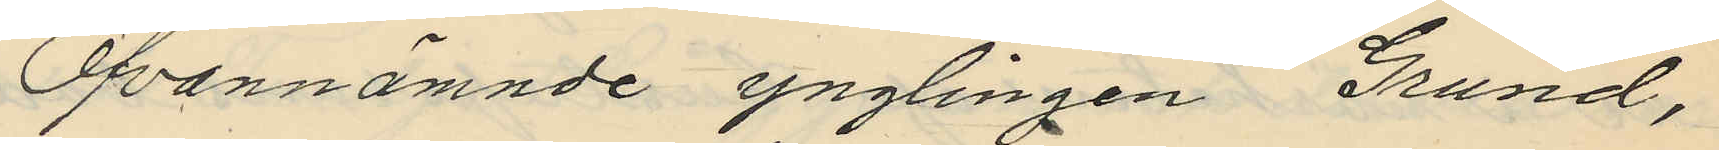Ofvannämnde ynglingen Grund,
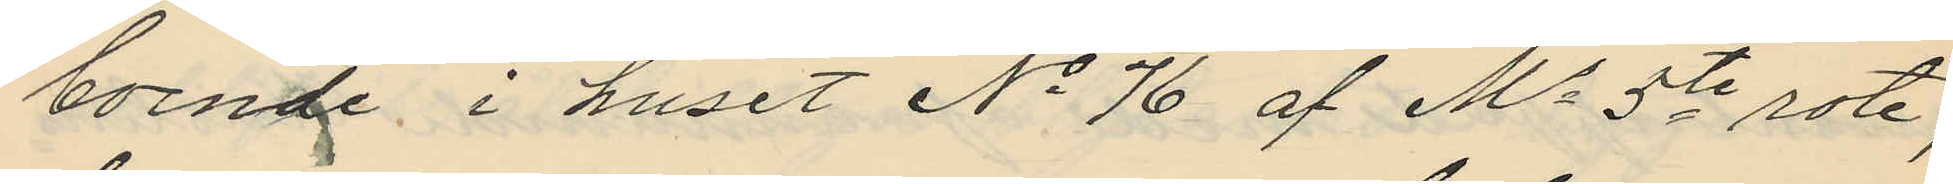boende i huset No 76 af Ms 5te rote,
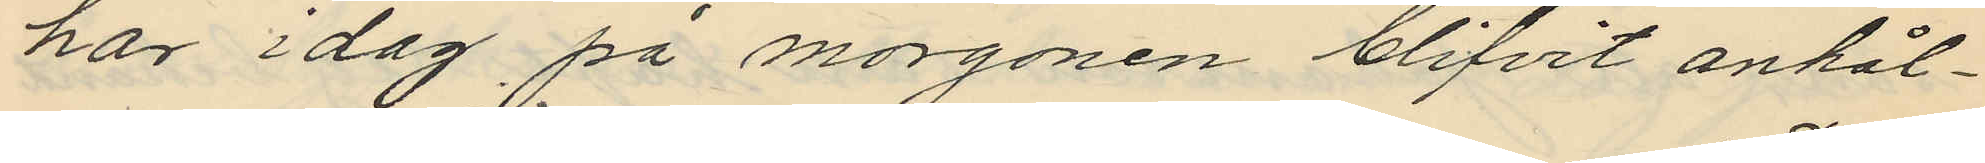har i dag på morgonen blifvit anhål¬
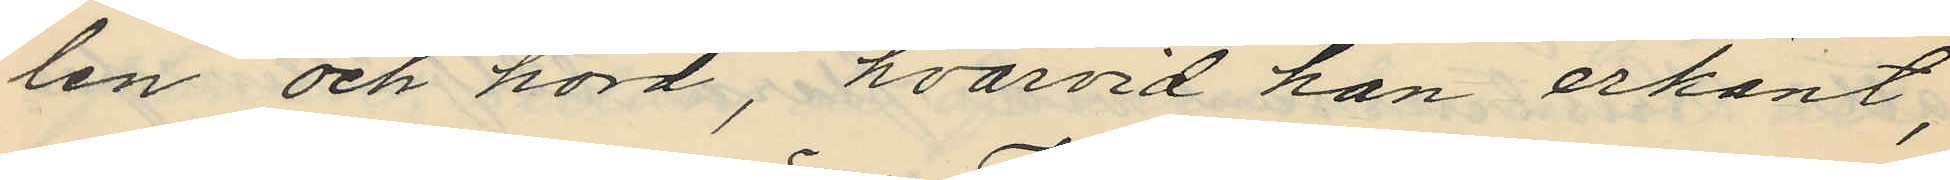len och hörd, hvarvid han erkänt,
